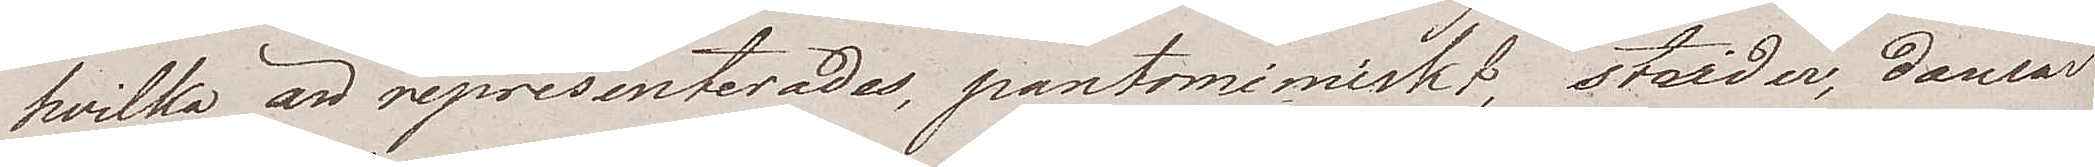hvilka än representerades, pantomimiskt, strider, dansar
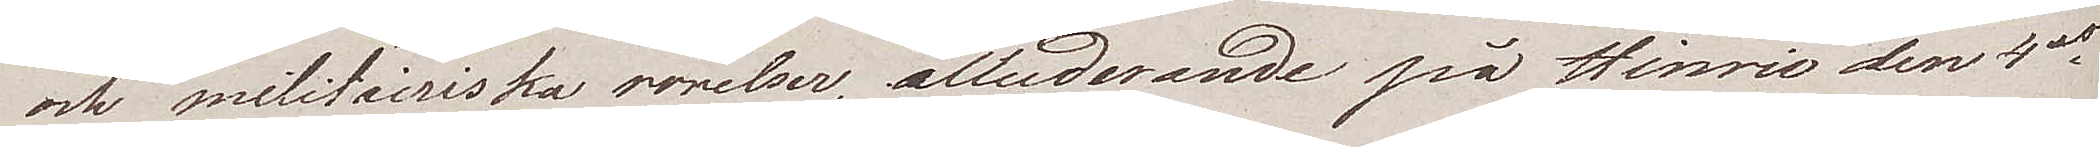och militairiska rorelser, alluderande på Hinric den 4des
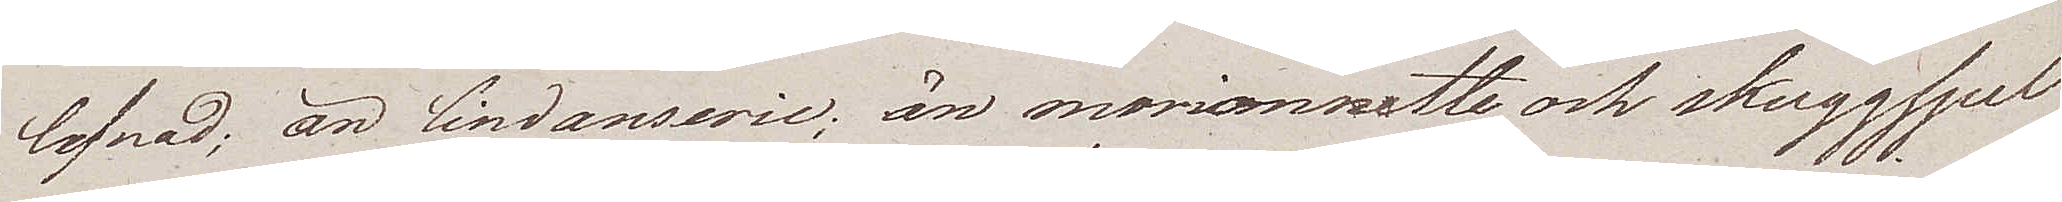lefnad; än lindanserie; än marionnette och skuggspel
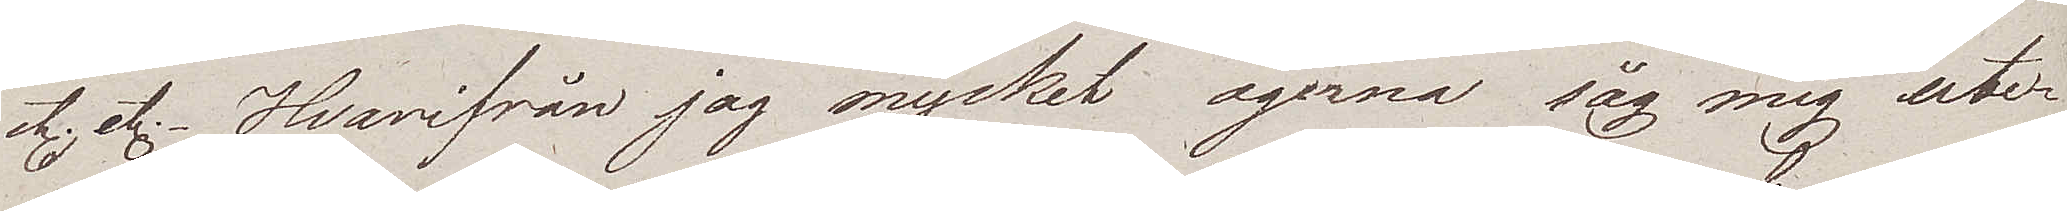etc. etc. Hvarifrån jag mycket ogerna såg mig ute¬
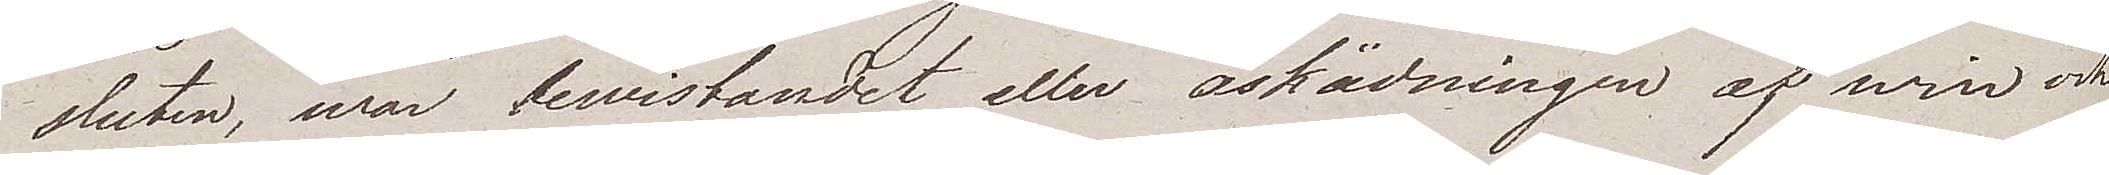sluten, war bewistandet eller åskådningen af win och
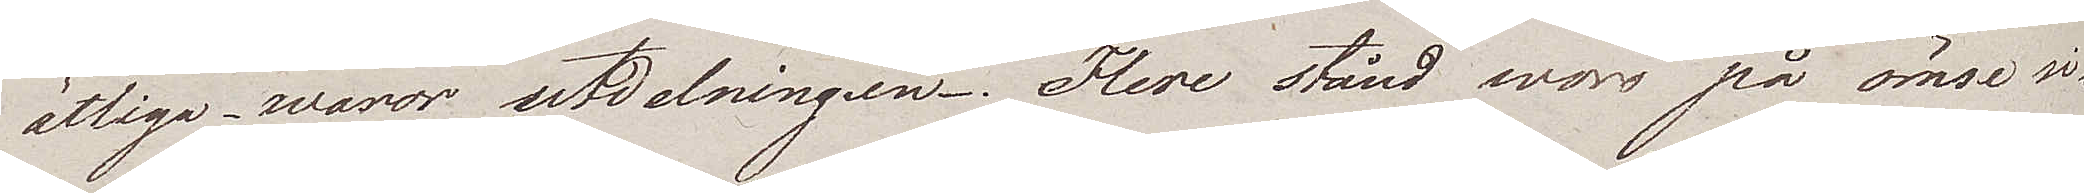ätliga waror utdelningen. Flere stånd woro på ömse si¬
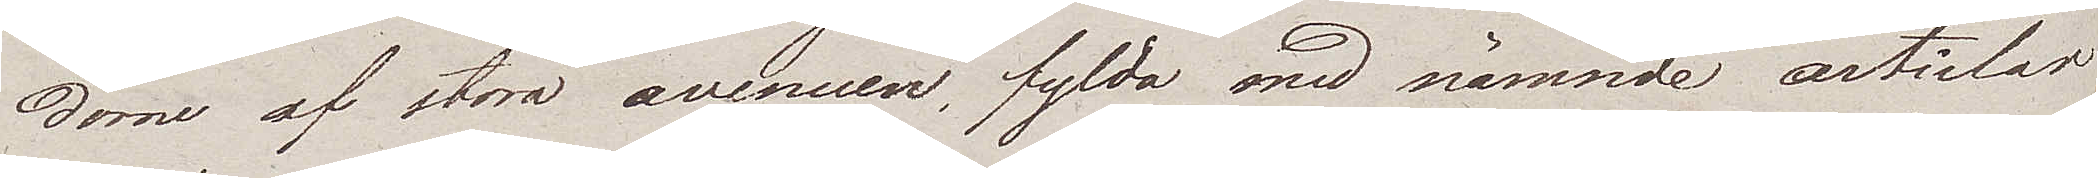dorne af stora avenuen, fylda med nämnde articlar
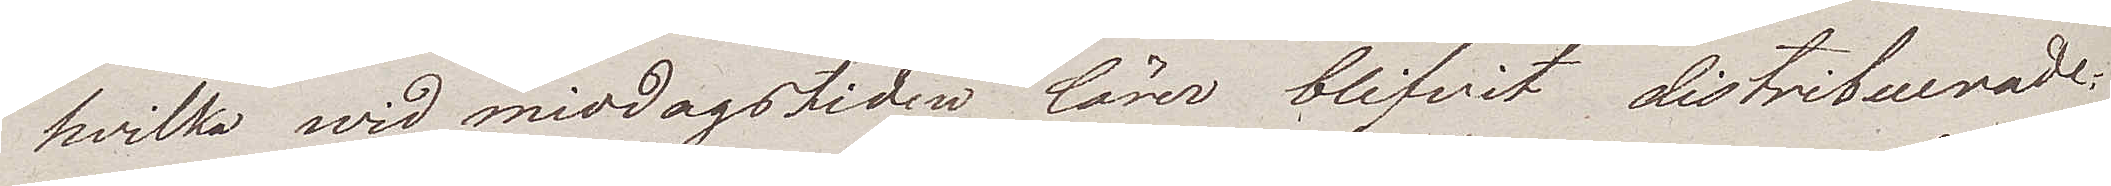hvilka wid middagstiden lärer blifvit distribuerade.
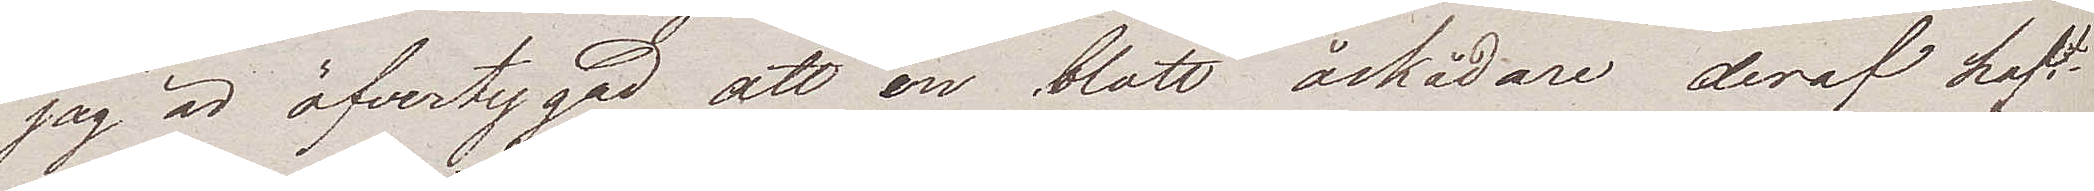Jag är öfvertygad att en blott åskådare deraf haft
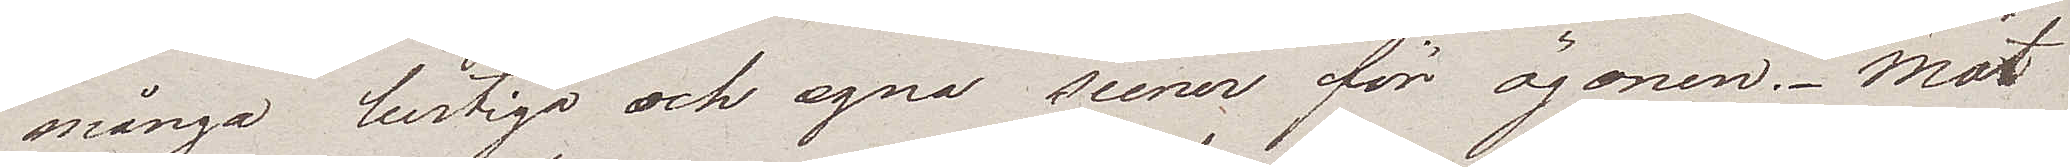många lustiga och egna scener för ögonen. Mot
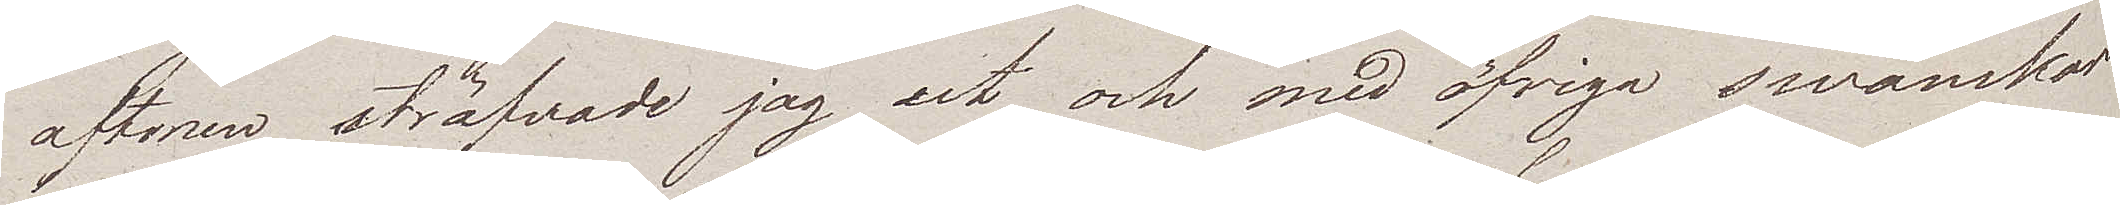aftonen sträfvade jag ut, och med öfriga swänskar
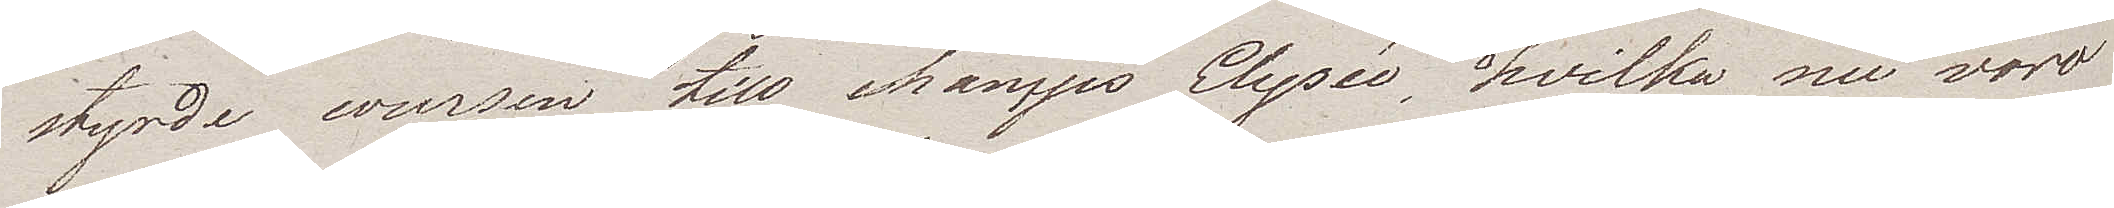styrde coursen till champs Elysée, hvilka nu woro
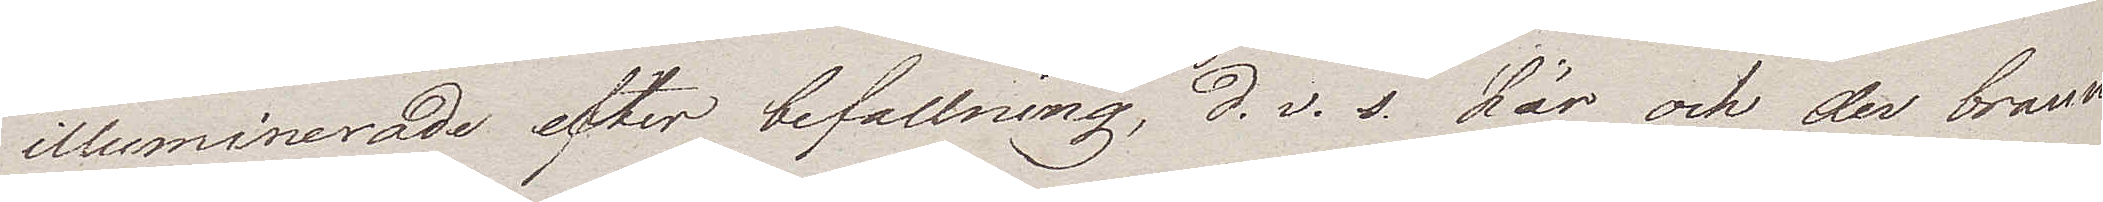illuminerade efter befallning, d.v. s. här och der brann
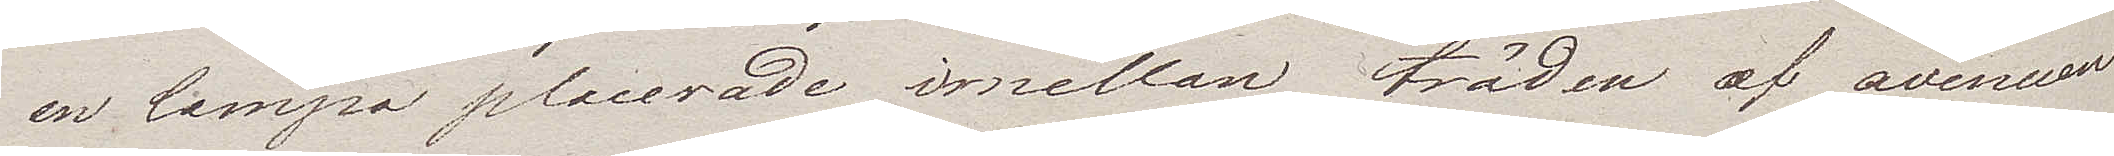en lampa placerade imellan träden af avenuen.
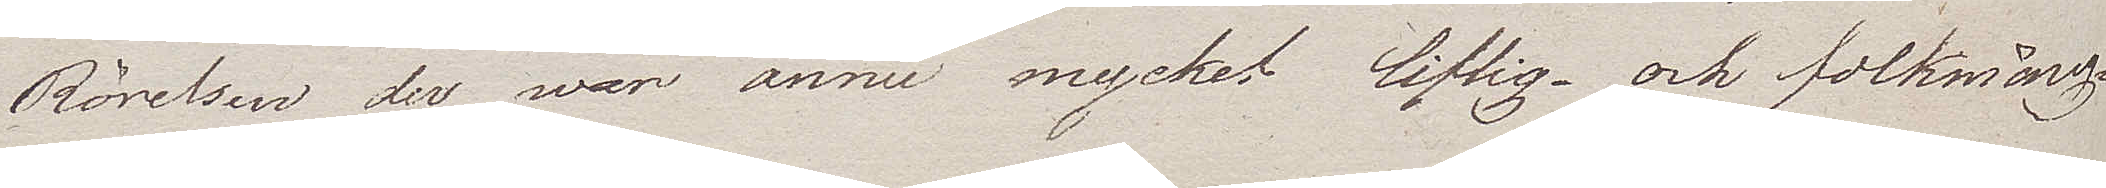Rörelsen der war ännu mycket liflig – och folkmäng¬
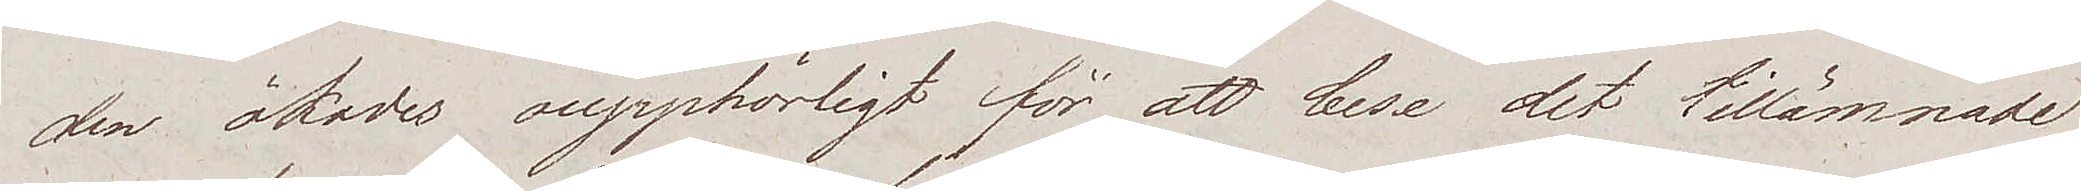den ökades oupphörligt för att bese det tillämnade
